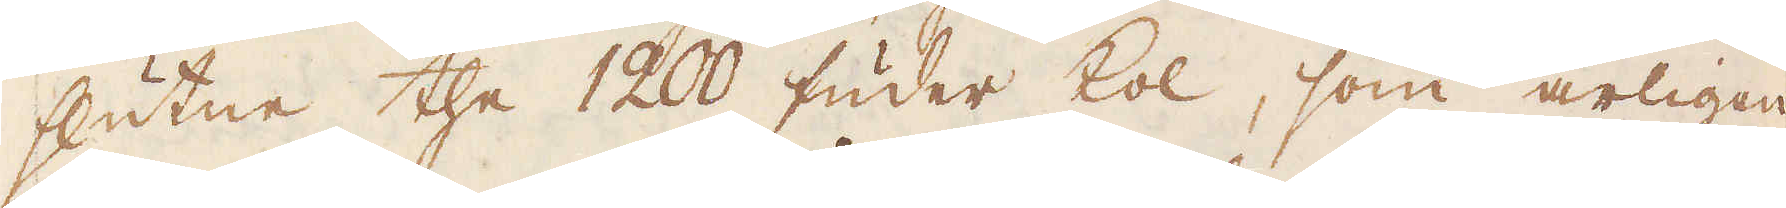slutne the 1200 fuder kol, som årligen
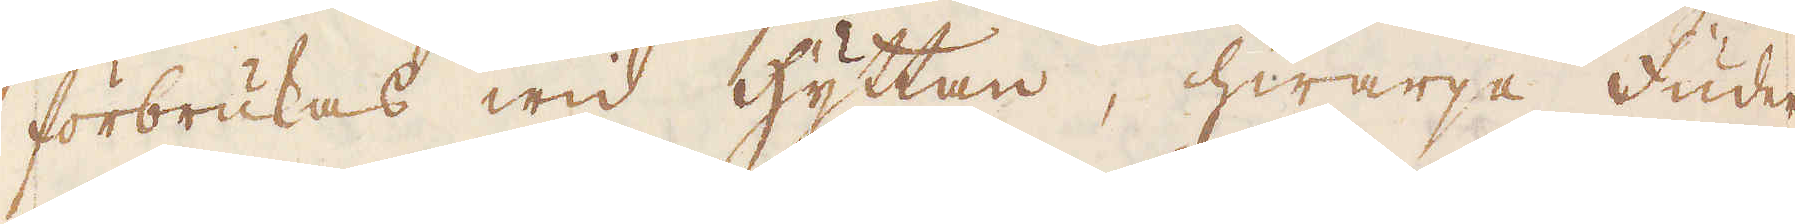förbrukas wid hyttan, hwarje Fuder
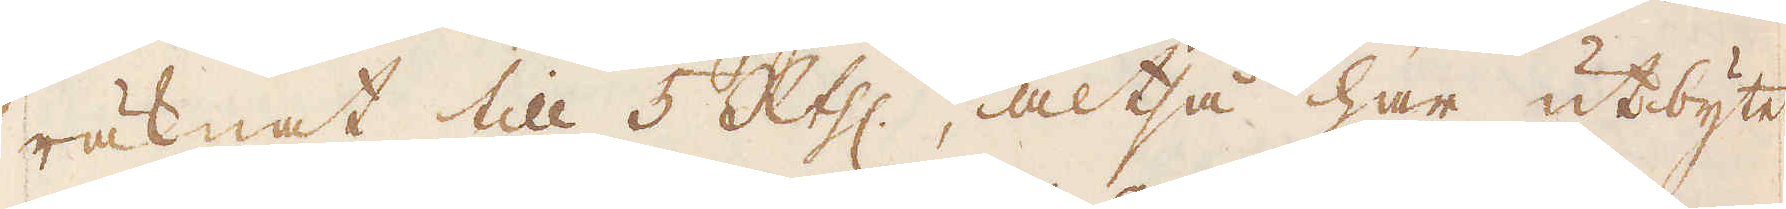räknat till 5 R:thlr, altså har utbytet
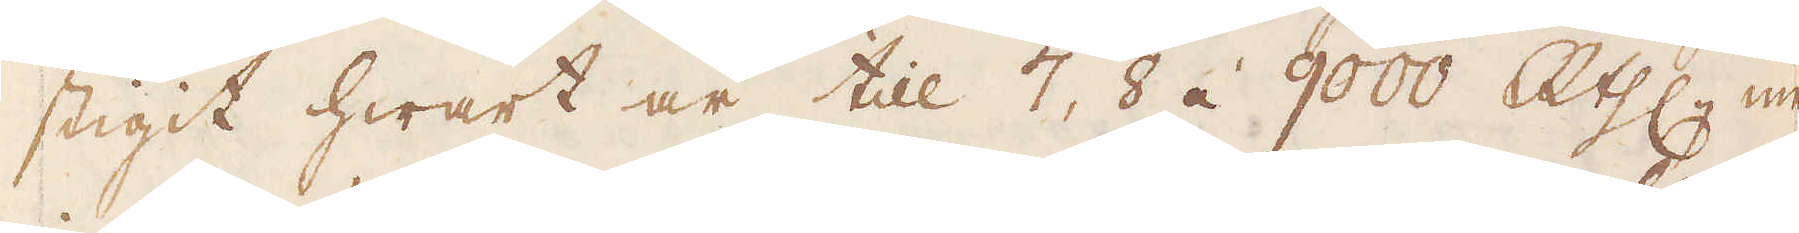stigit hwart år till 7, 8 á 9000 R:thlr, men
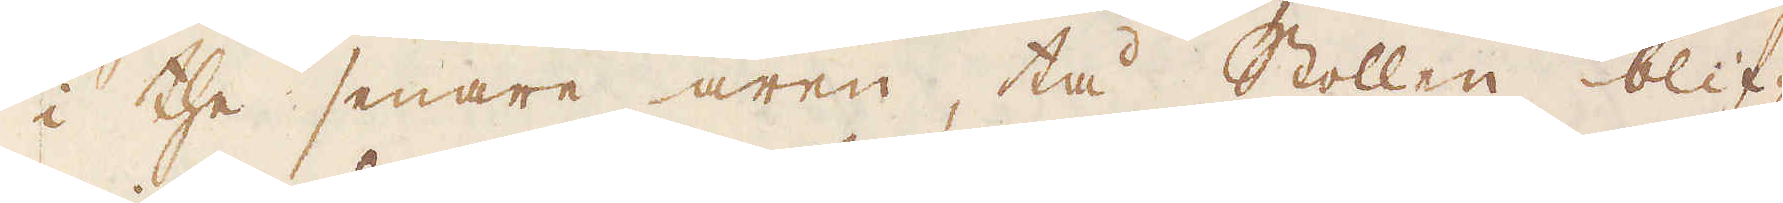i the senare åren, tå Stollen blif-
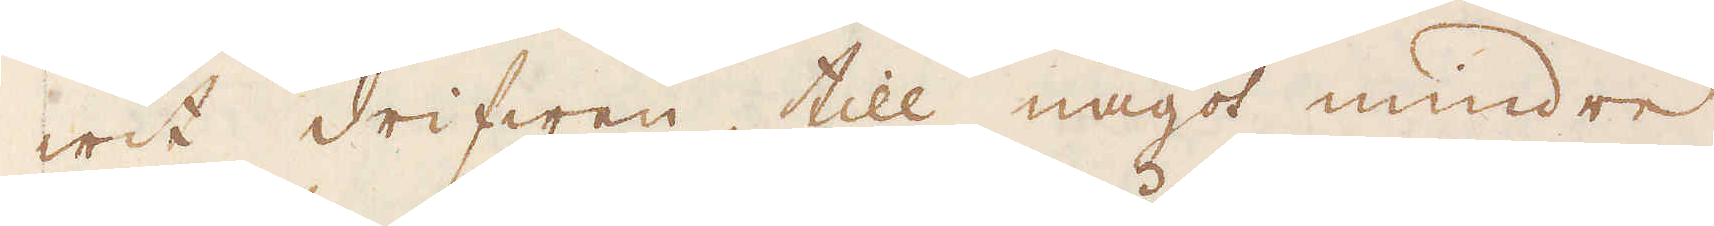wit drifwen, till något mindre.
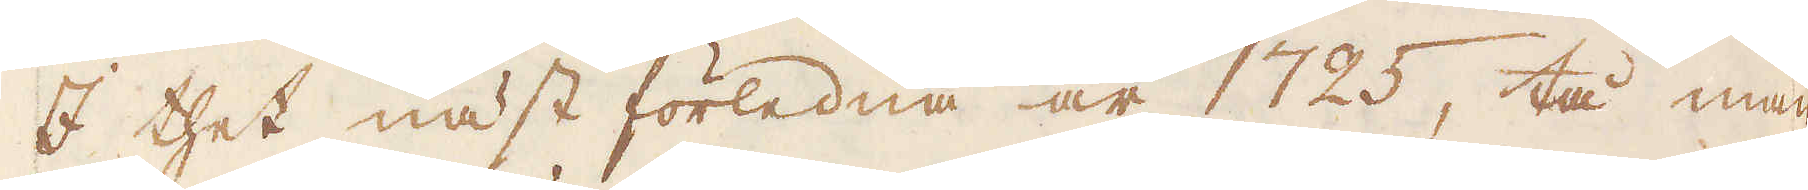I thet näst förledna år 1725, tå man
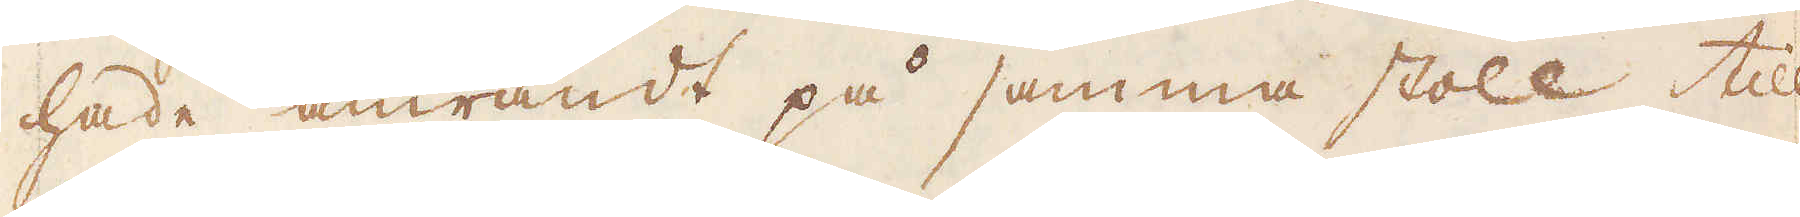hade anwändt på samma stoll till
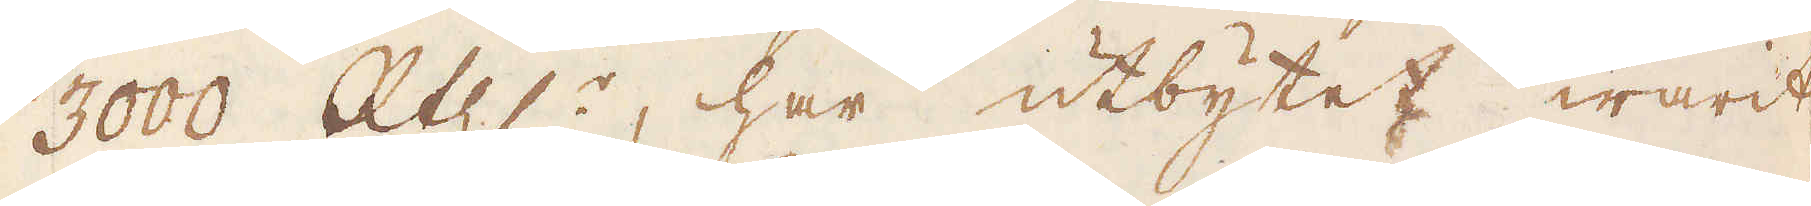3000 R:thlr, har utbytet warit
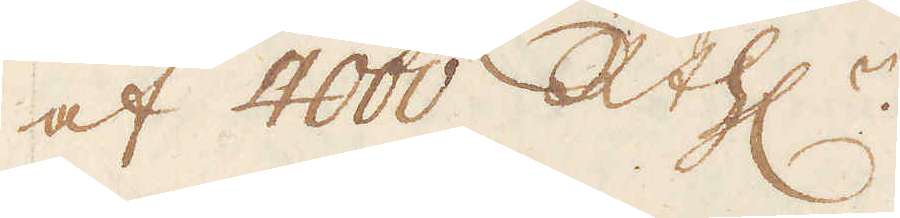af 4000 R:thlr.
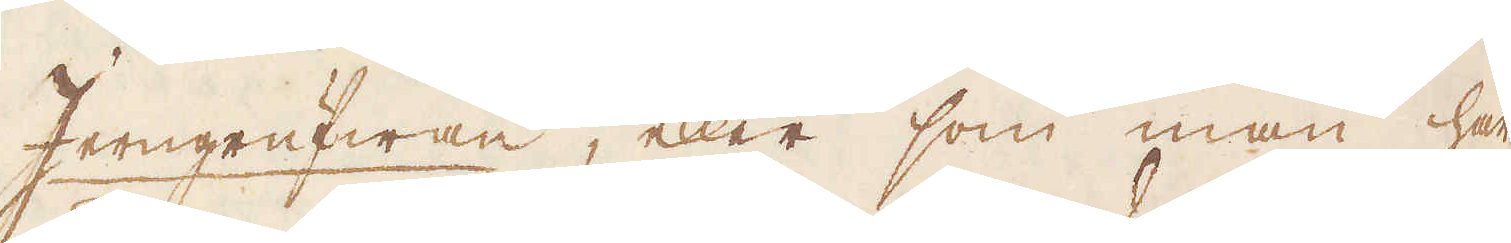Jerngrufwan, eller som man här
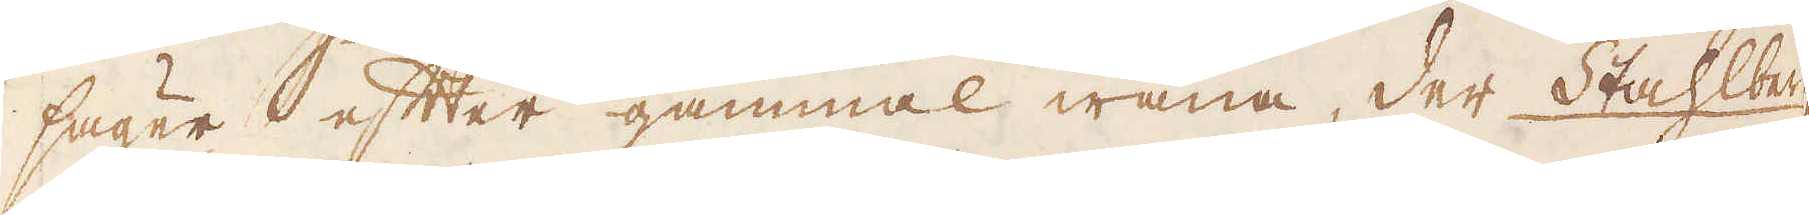säger efter gammal wana, der Stahlberg,
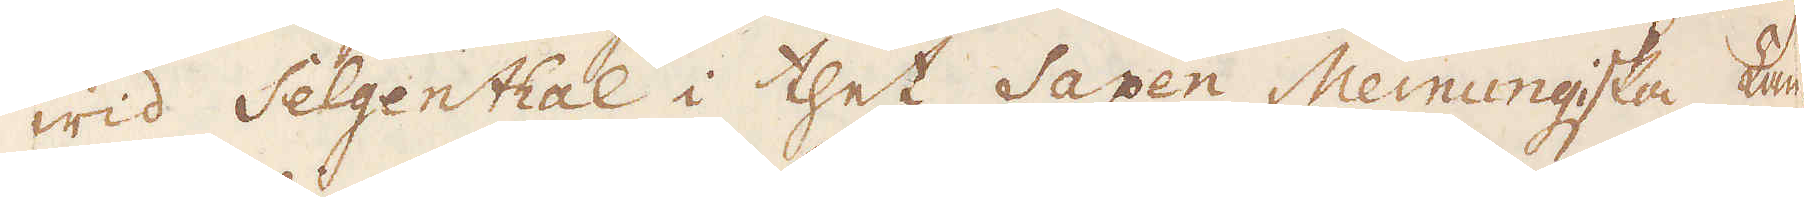wid Selgenthal i thet Saxen Meinungska Lan-
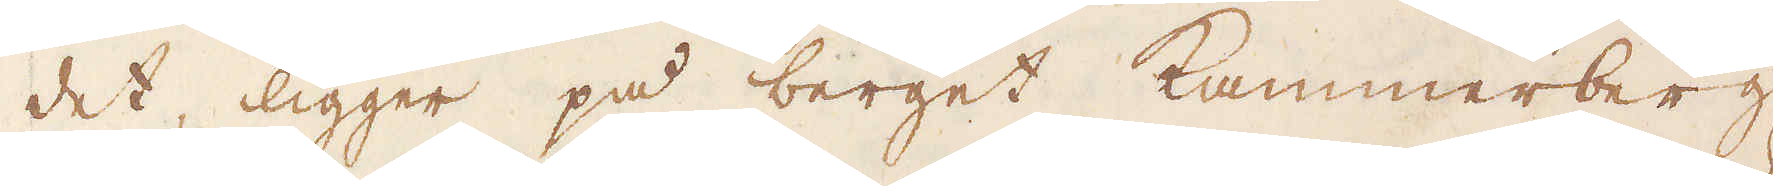det, ligger på berget Kammerberg,
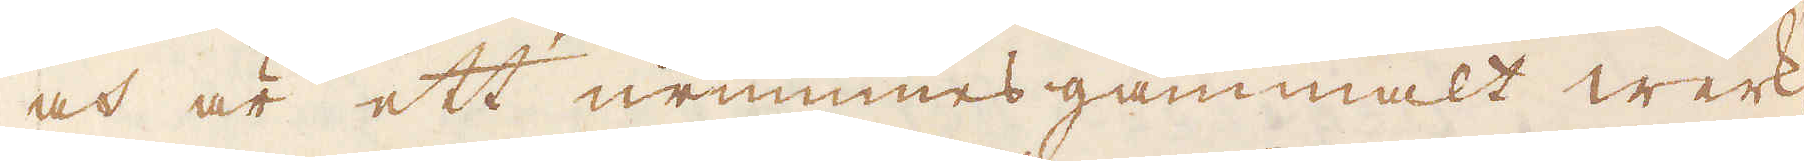och är ett urminnes gammalt werk,
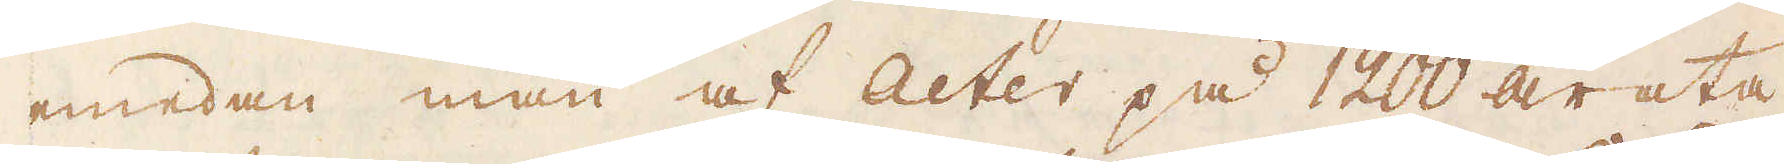emedan man af acter på 1200 årata-
